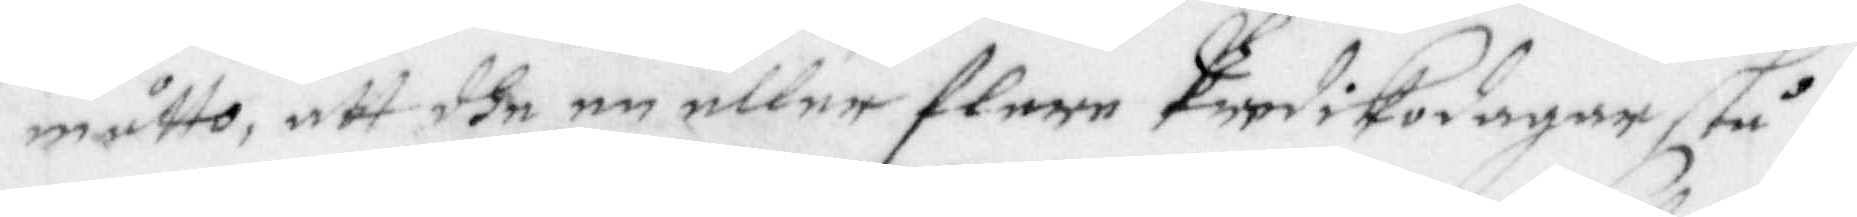måtto, att dhe en eller flere Predikodagar stå
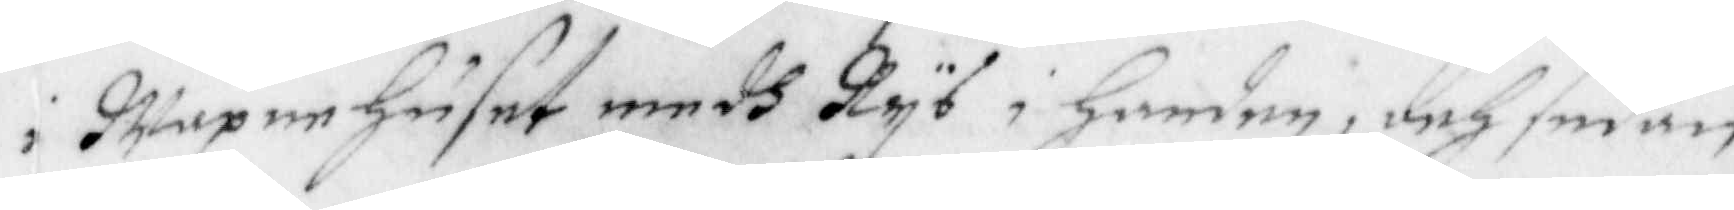i Wapenhuset medh Rys i handen, och sedan
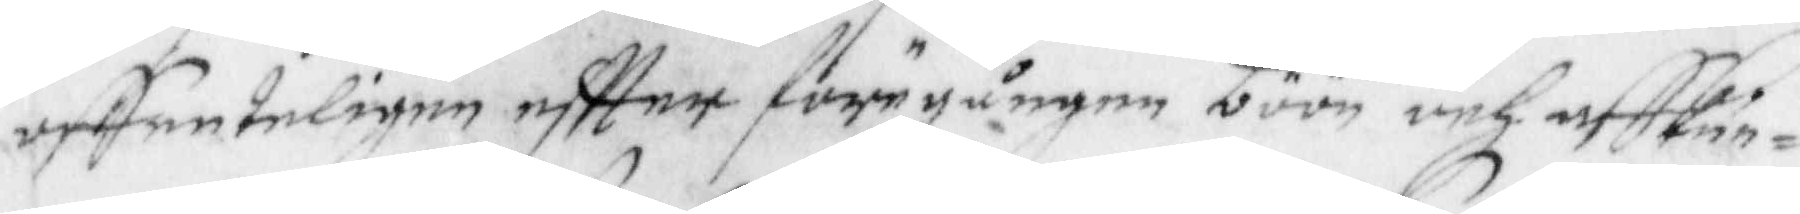offenteligen eftter föregången böön och affkun¬
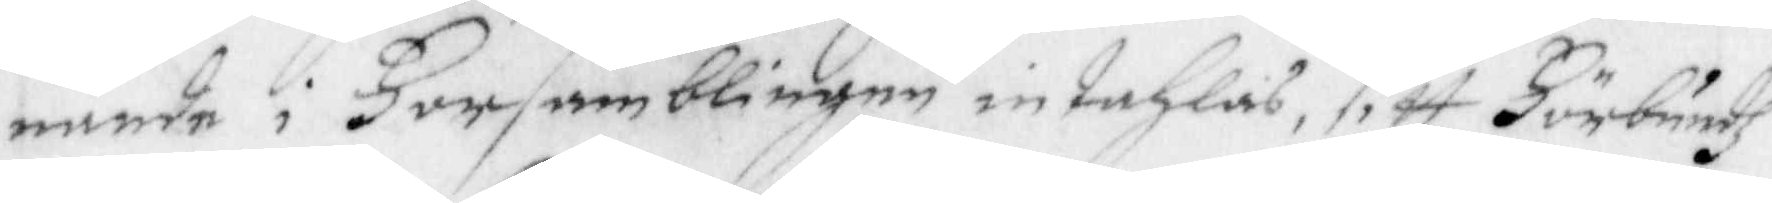nande i Församblingen intahlas, sitt Förbundz
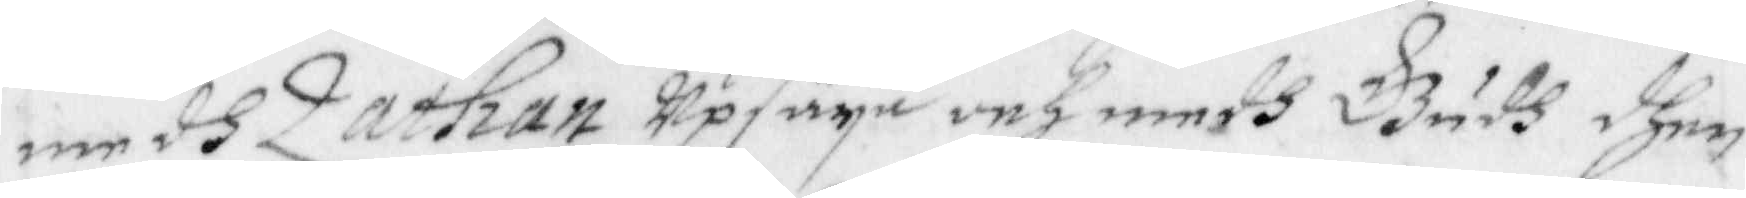medh Zathan upsäya och medh Gudh dhen
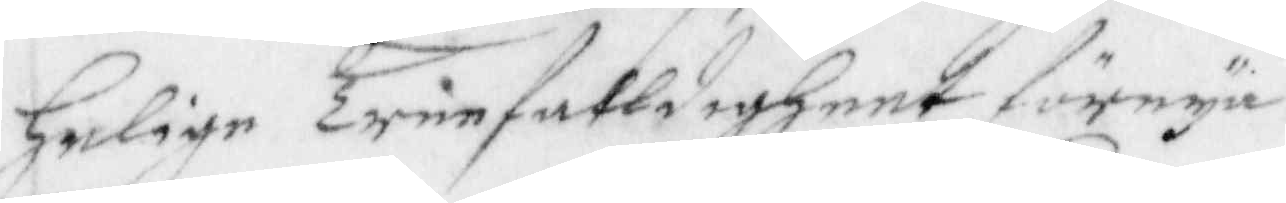Helige Trefalldigheet förnya.
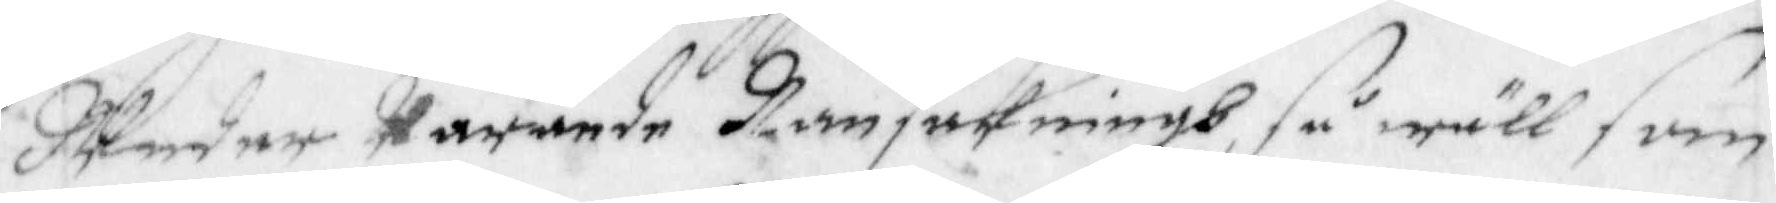Under warande Ransakningh, så wäll som
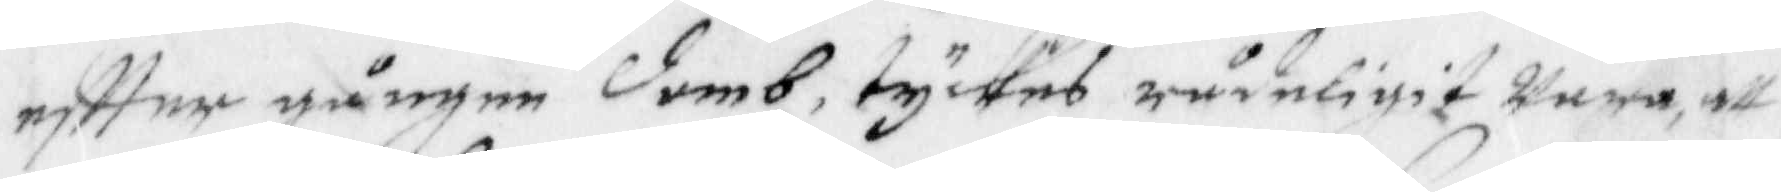eftter gångne domb, tyckes rådeligit wara att
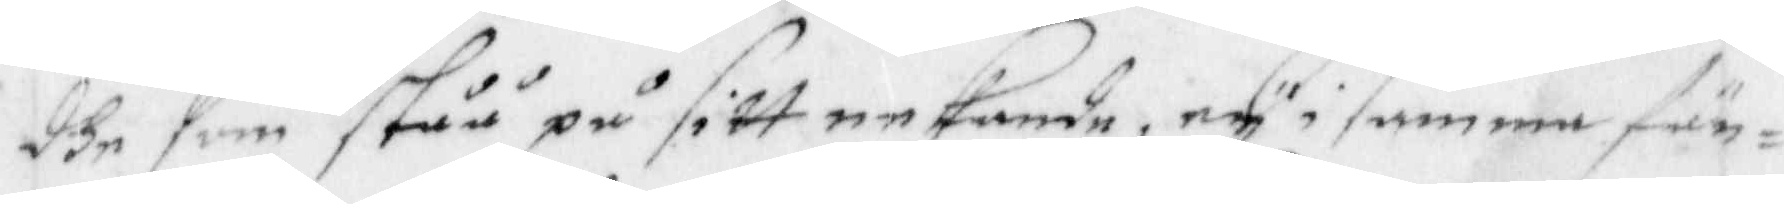dhe som ståå på sitt nekande, ey i samma fän¬
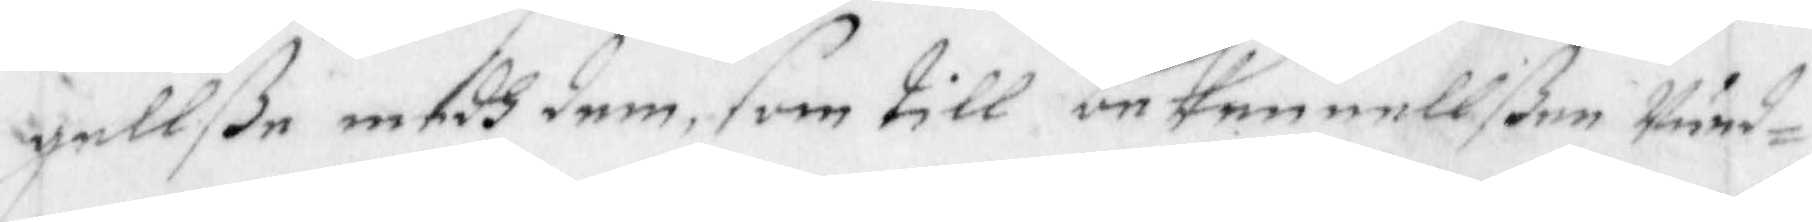gellße medh dem, som till bekennellße wund¬
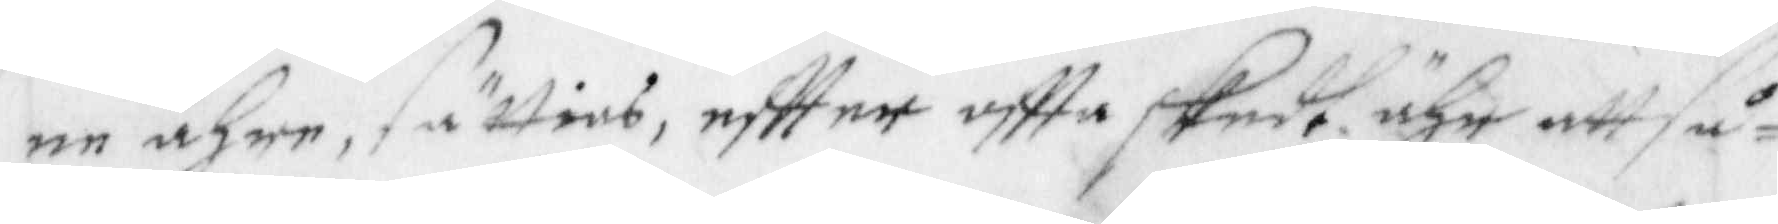ne ähre, sätties, eftter oftta skedt ähr, att så¬
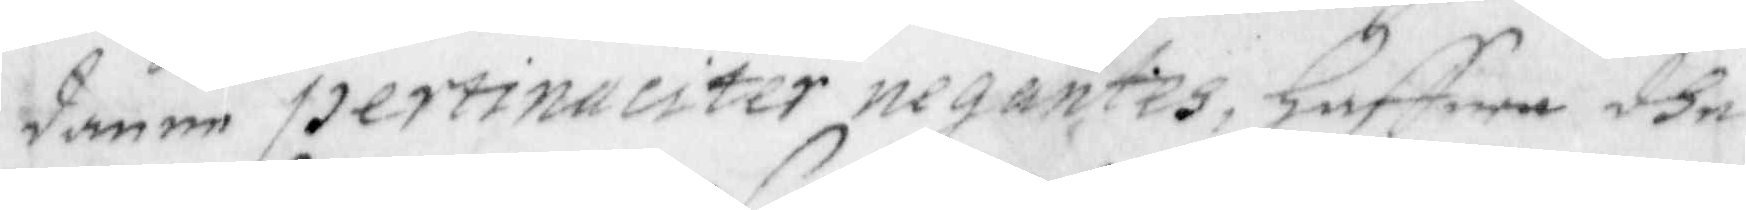danne pertinueiter negantes, haffwa dhe
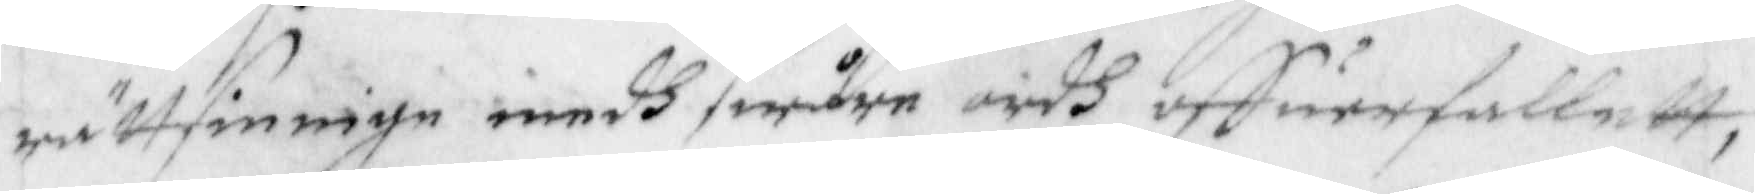rättsinnige medh swårw ordh uffuerfallatt,
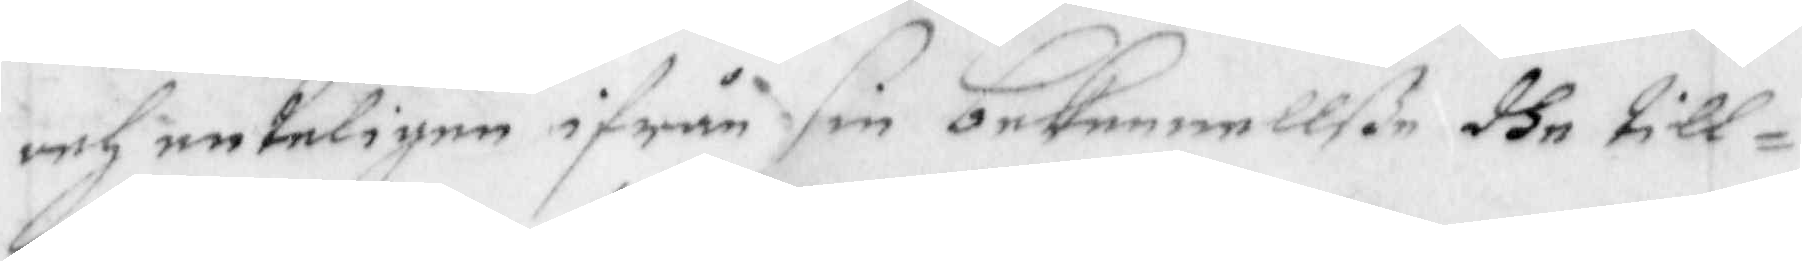och enteligen ifrån sin bekennellße dhe till¬
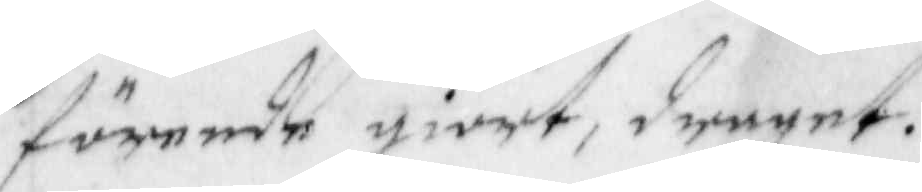förende giort, draget.
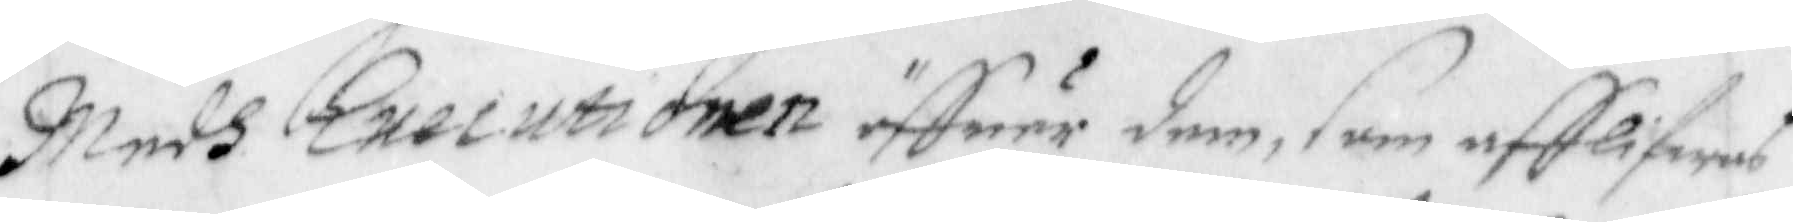Medh Executionen öffuer dem, som afflifwas
